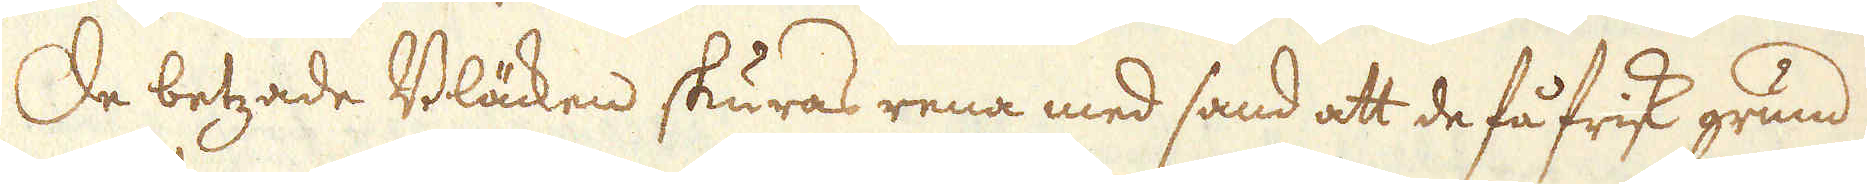De betzade Bläcken skuras rena med sand att de få frisk grund
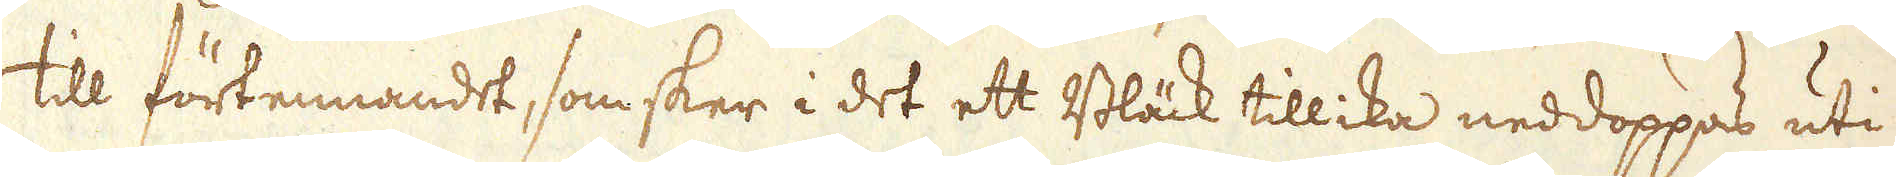till förtennandet, som sker i det ett Bläck tillika neddoppas uti
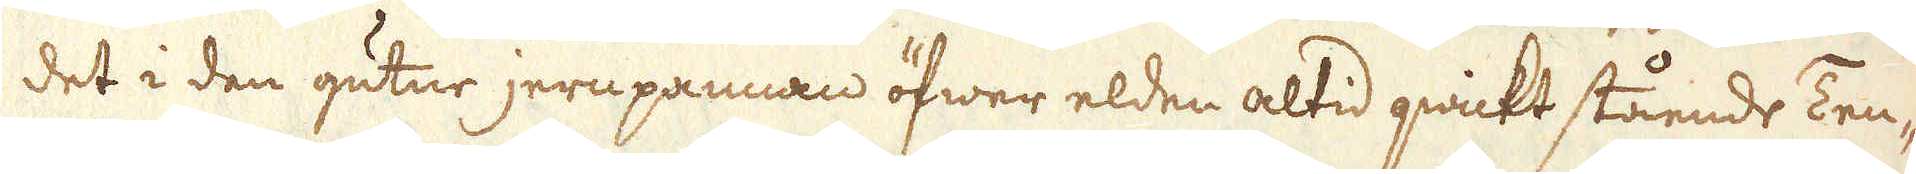det i den gutne jernpannan öfwer elden altid qwickt stående Ten-
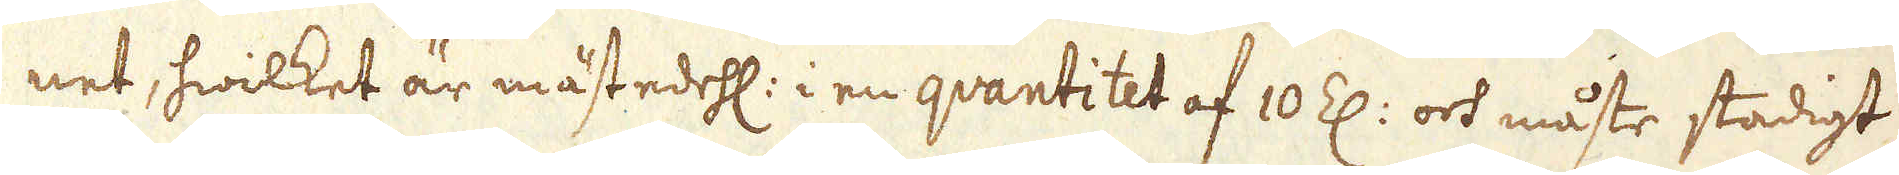net, hwilket är mästedehl: i en qvantitet af 10 Z: och måste stadigt
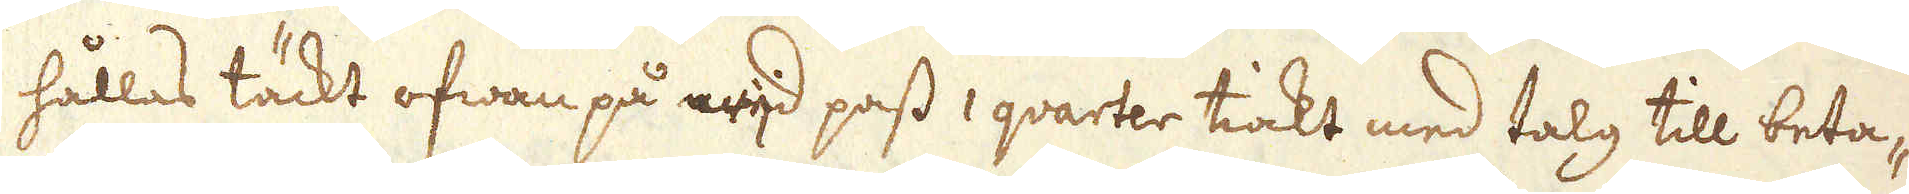hållas täckt ofwan på wijd pass 1 qvarter tiokt med talg till beta-
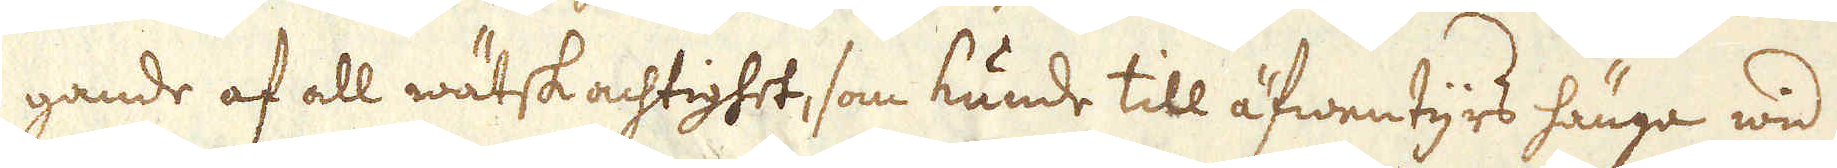gande af all wätskachtighet, som kunde till äfwentyrs hänga wid
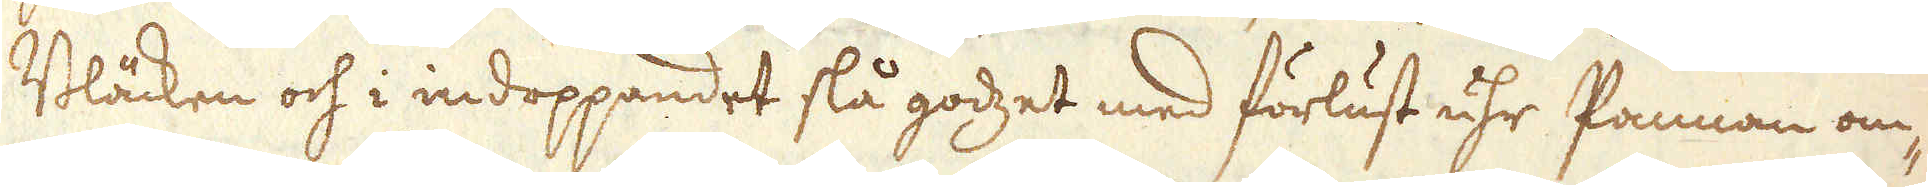Bläcken och i indoppandet slå godzet med förlust uhr Pannan om-
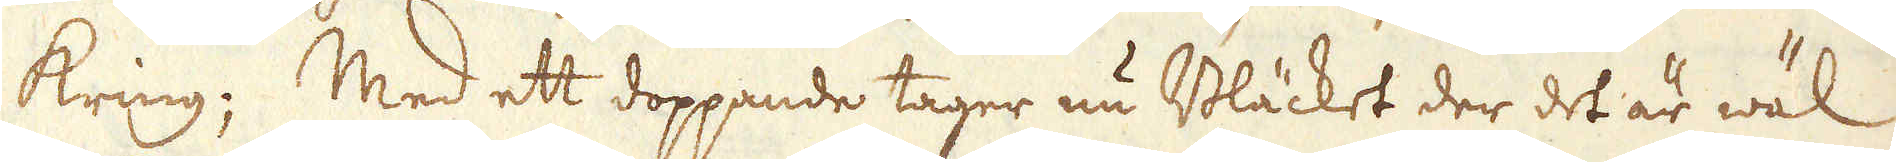kring; Med ett doppande tager nu Bläcket der det är wäl
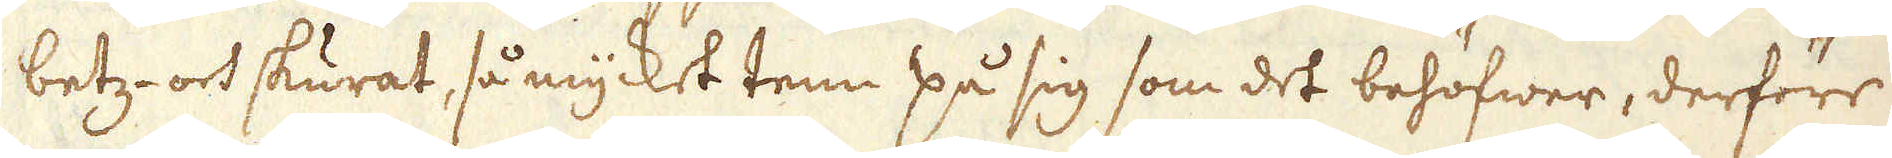betz- och skurat, så mycket tenn på sig som det bahöfwer, derföre
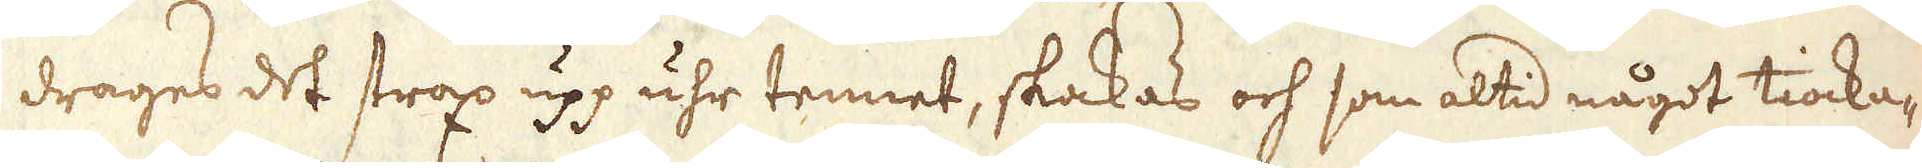drages det strax upp uhr tennet, skakas och som altid något tiocka-
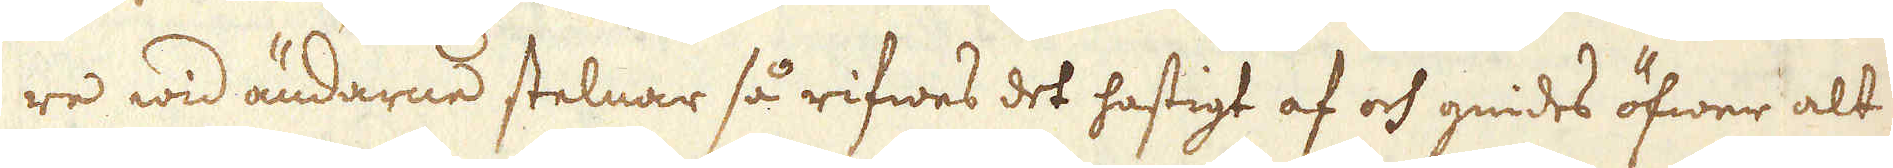re wid ändarne stelnar så rifwes det hastigt af och gnides öfwer alt
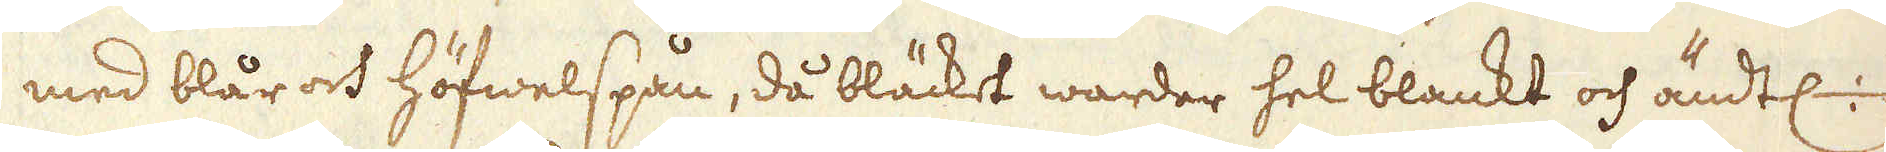med blår och höfwelspån, då bläcket warder hel blankt och ändtl:
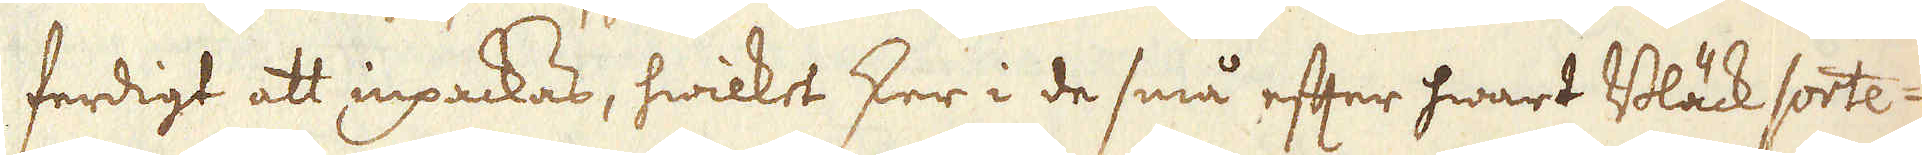ferdigt att inpackas, hwilket sker i de små efter hwart Bläck sorte-
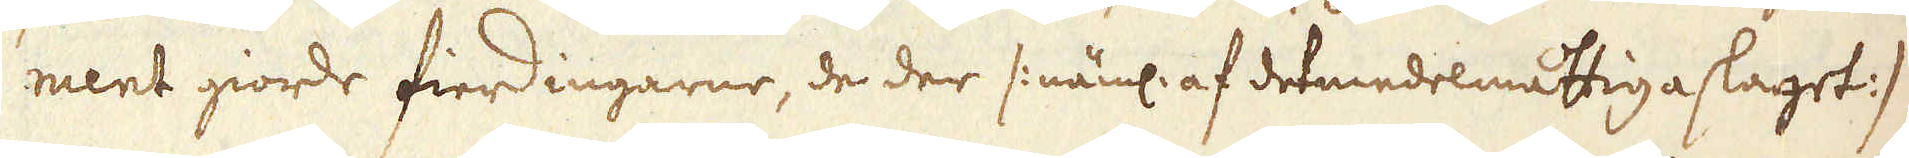ment giorde fierdingarne, de der /: näml: af det medelmåttiga slaget :/
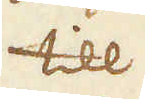till
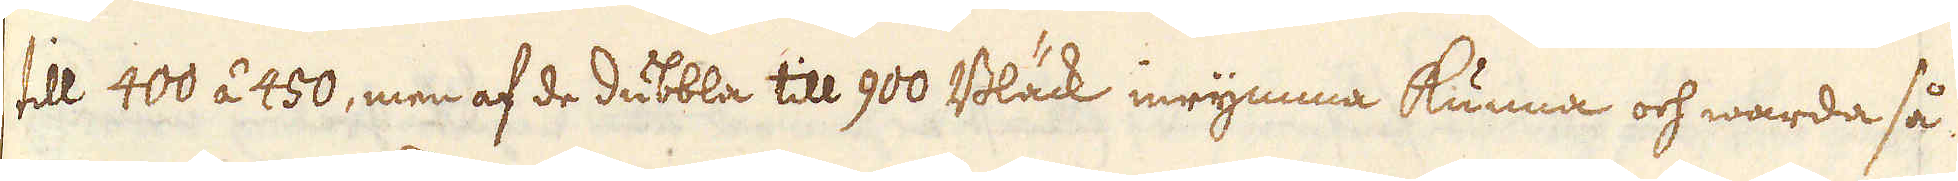till 400 á 450, men af de dubbla till 900 Bläck inrymma kunna och warda så
